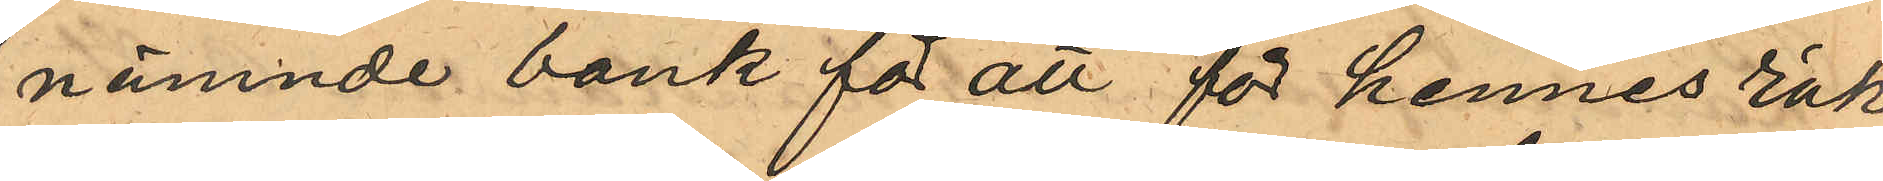nämnde bank för att för hennes räk¬
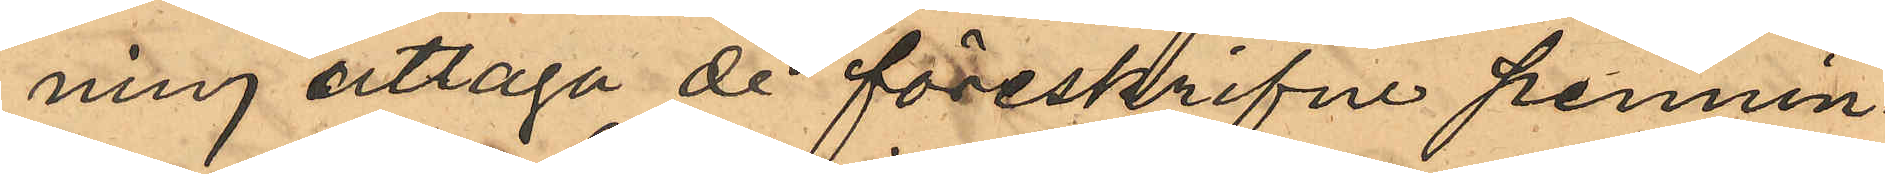ning uttaga de föreskrifne pennin¬
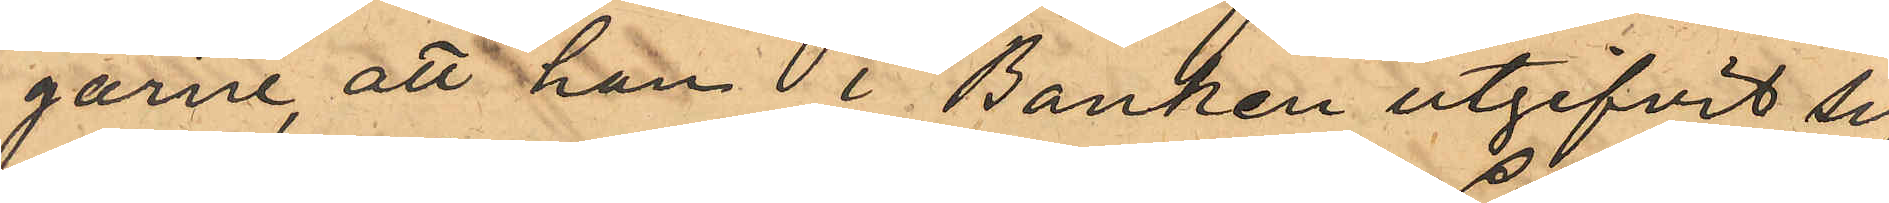garne, att han i Banken utgifvit sig
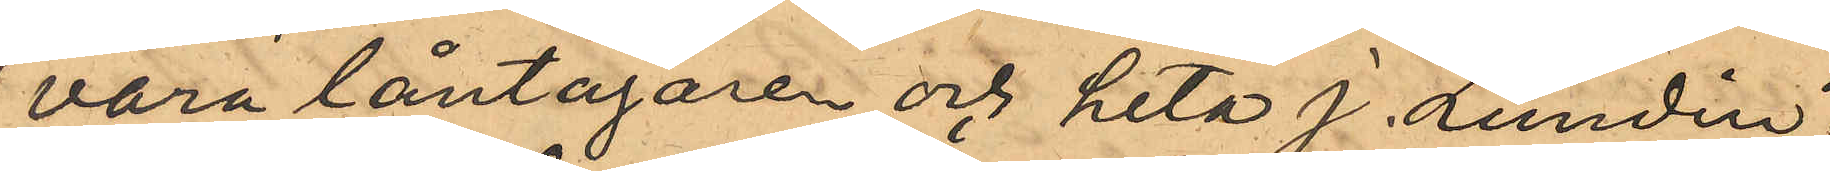vara låntagaren och heta J. Lundin;
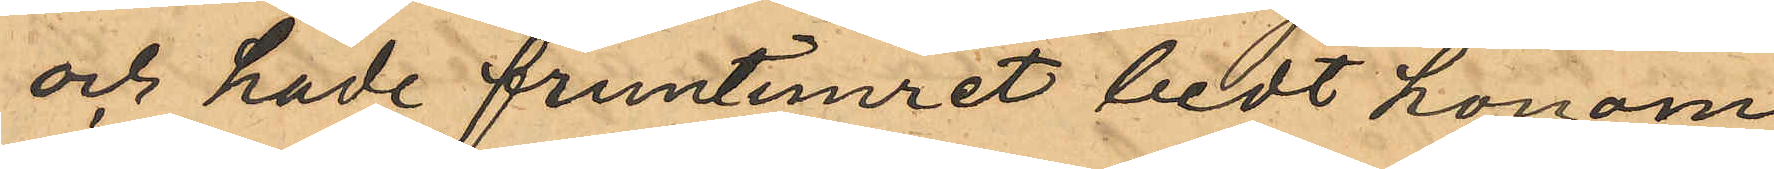och hade fruntimret bedt honom
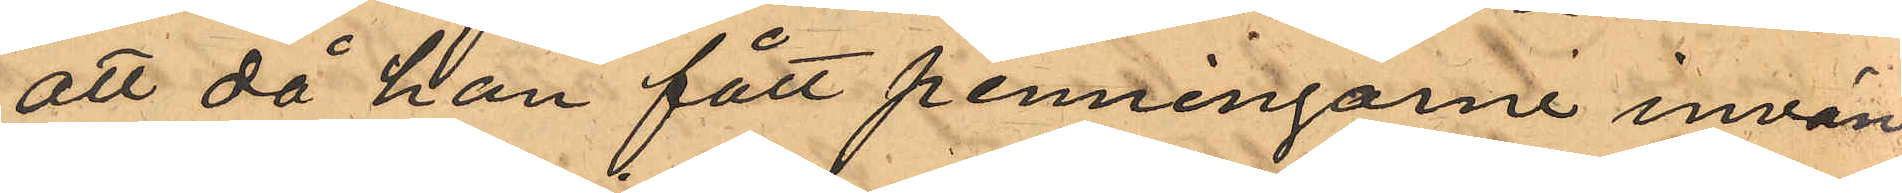att då han fått penningarne invän¬
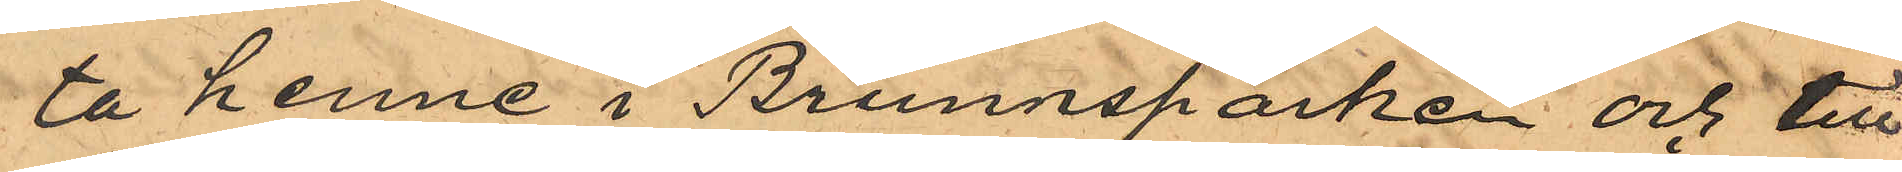ta henne i Brunnsparken och till
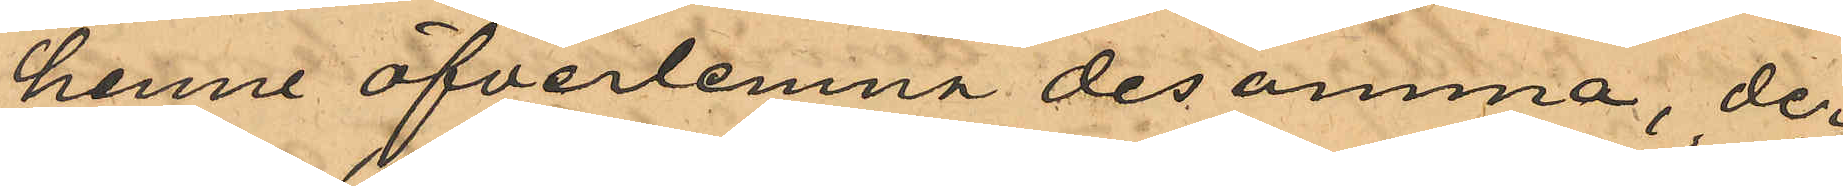henne öfverlemna desamma, der¬
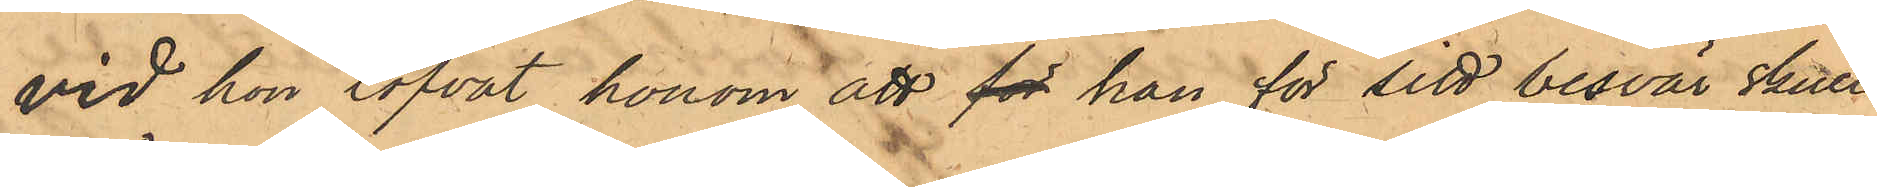vid hon lofvat honom att för han för sitt besvär skulle
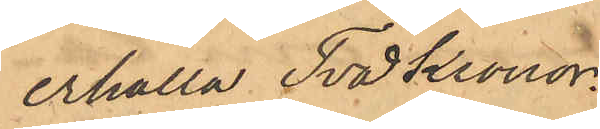erhålla Två Kronor.
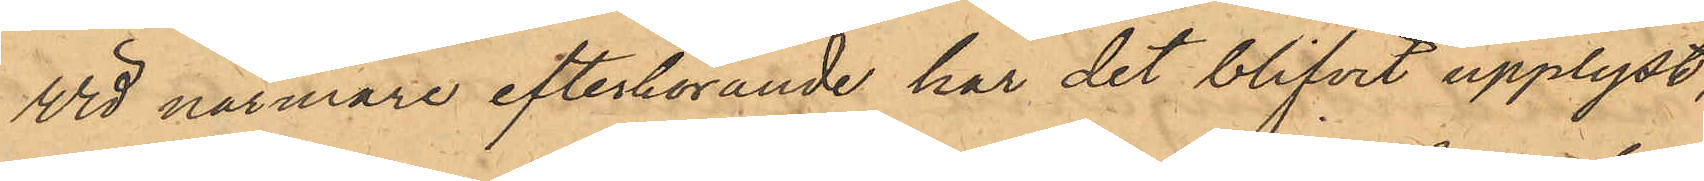Vid närmare efterhörande har det blifvit upplyst,
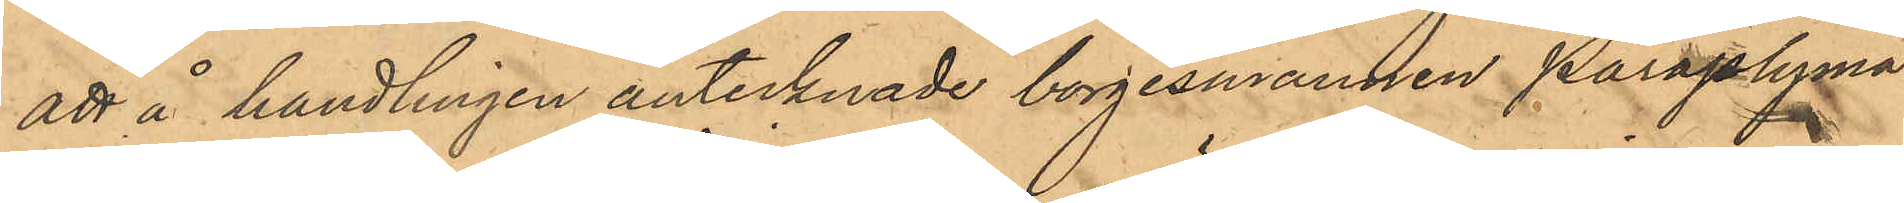att å handlingen antecknade borgesmannen Paraplyma¬
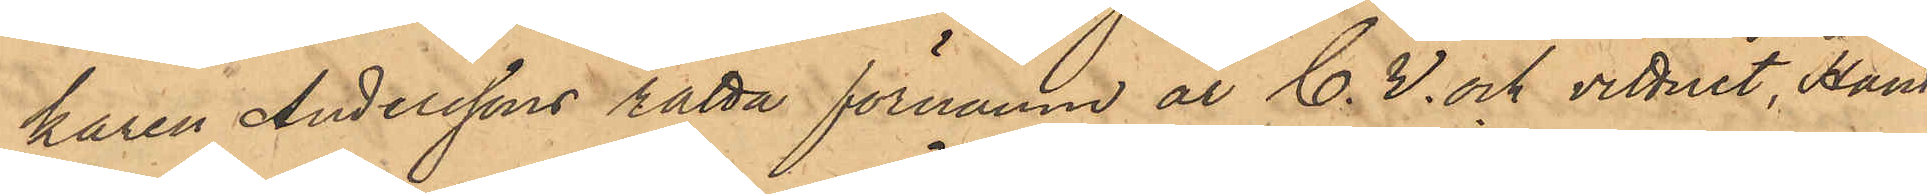karen Anderssons rätta förnamn är C. V. och vittnet, Hand¬
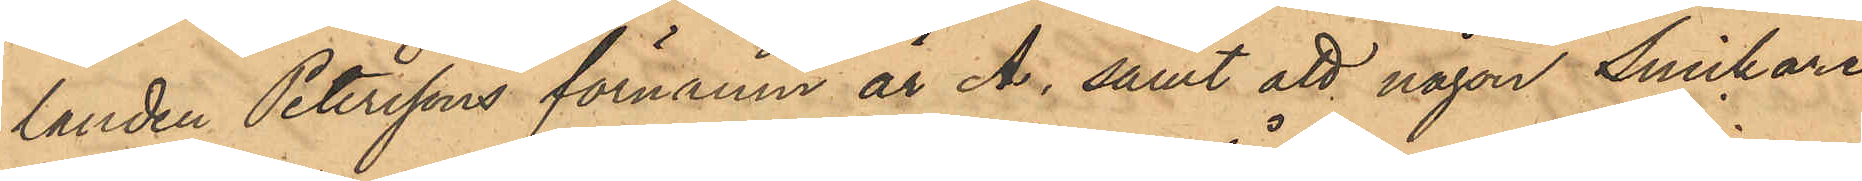landen Peterssons förnamn är A; samt att någon Snickare
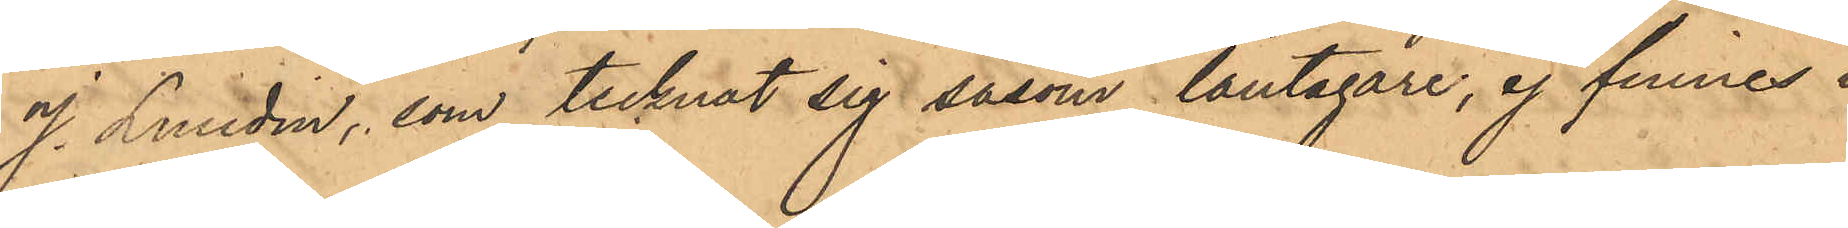J. Lundin, som tecknat sig såsom låntagare, ej finnes i
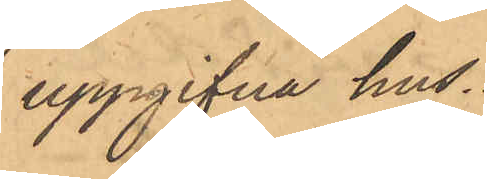uppgifna hus.
